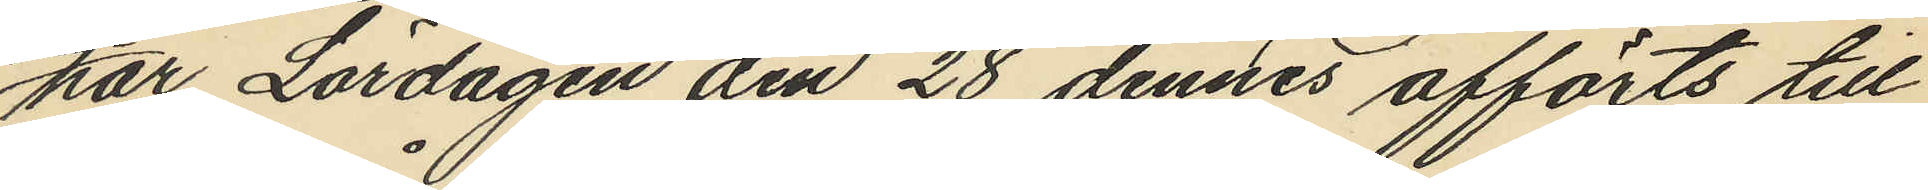har Lördagen den 28 dennes afförts till
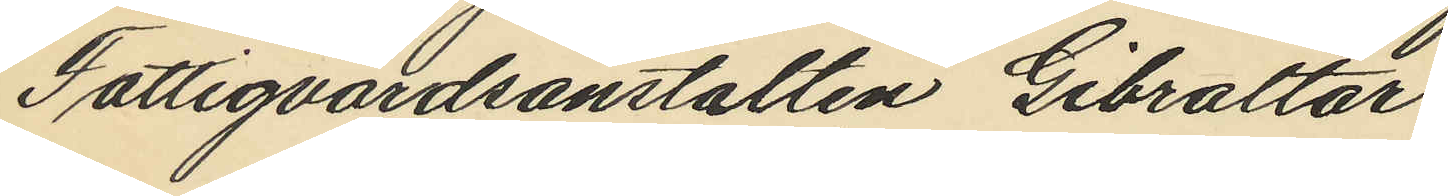Fattigvårdsanstalten Gibraltar.
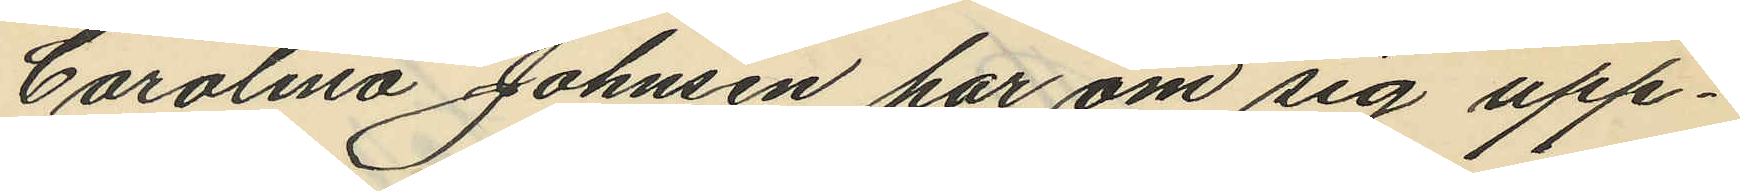Carolina Johnsen har om sig upp¬
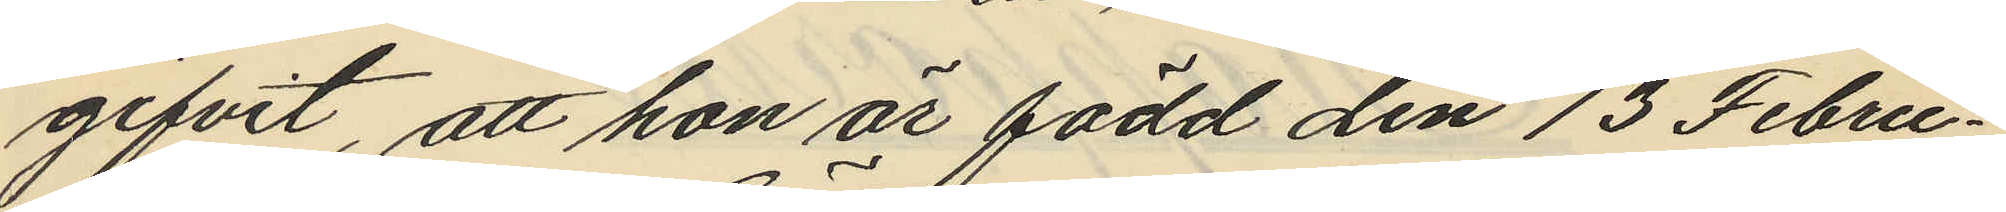gifvit, att hon är född den 13 Febru¬
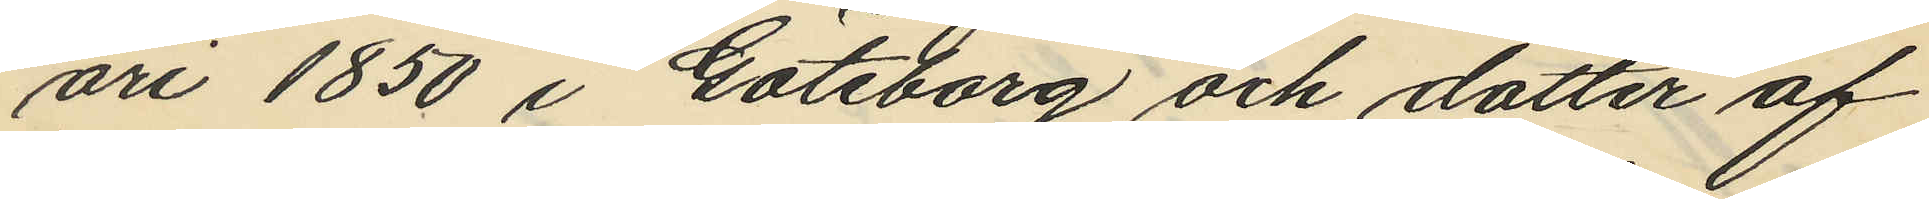ari 1850 i Göteborg och dotter af
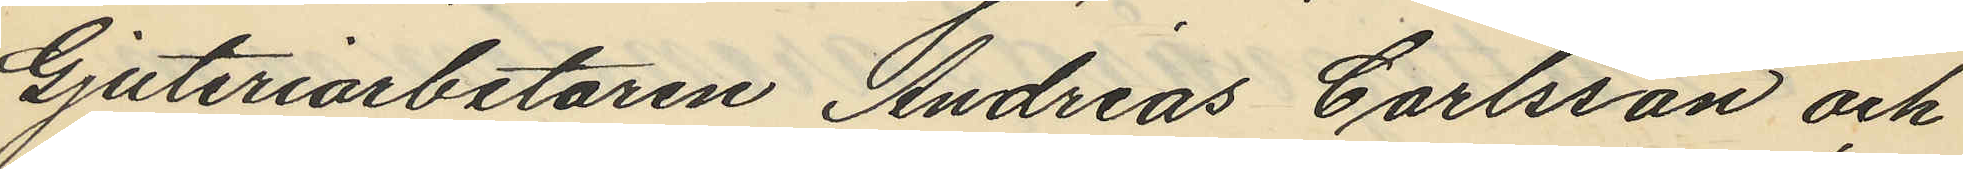Gjuteriarbetaren Andreas Carlsson och
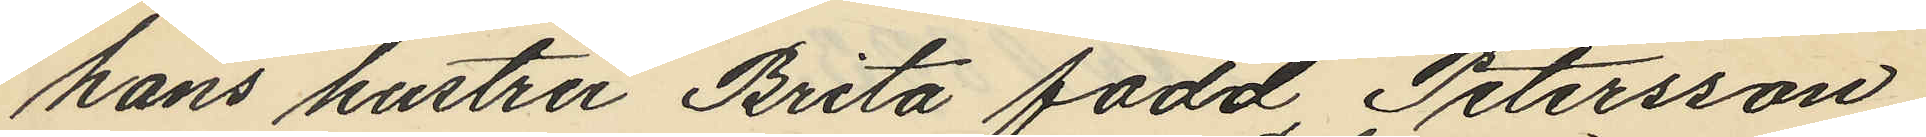hans hustru Brita född Petersson,
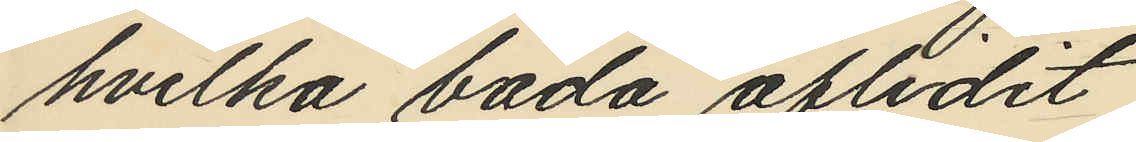hvilka båda aflidit,
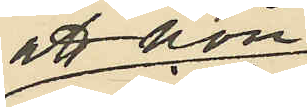att hon
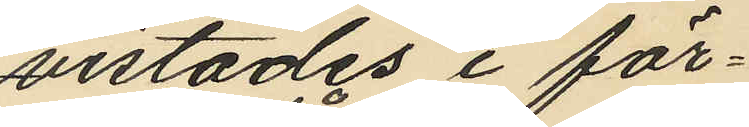vistades i för¬
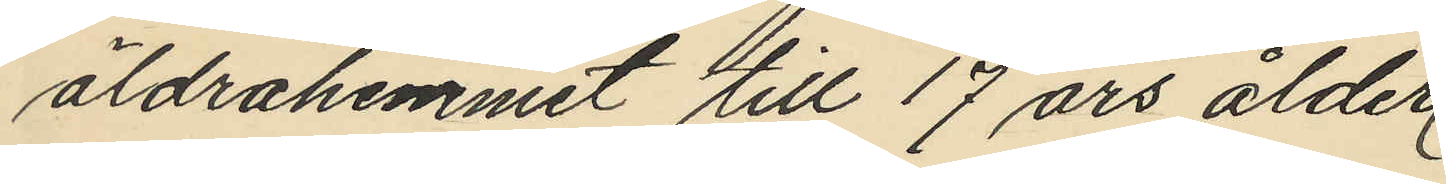äldrahemmet till 17 års ålder
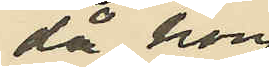då hon
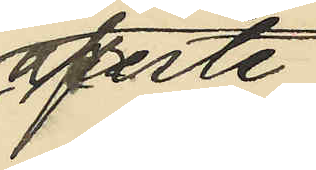afreste
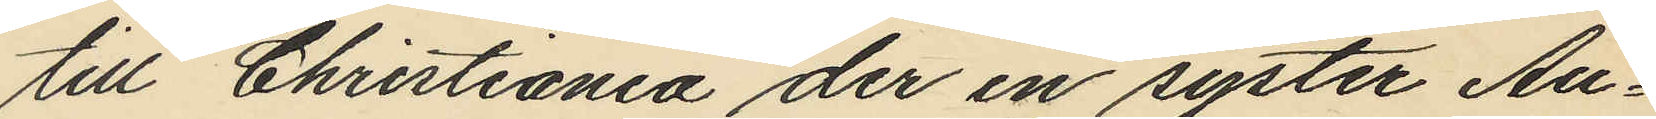till Christiania der en syster Au¬
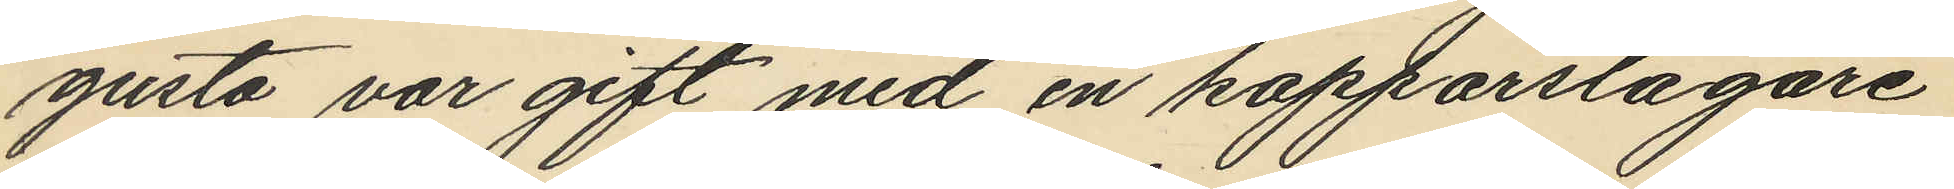gusta var gift med en kopparslagare
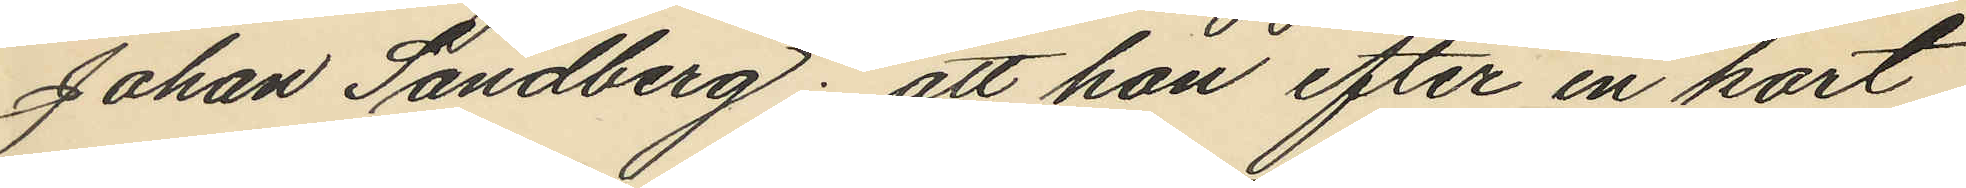Johan Sandberg: att hon efter en kort
